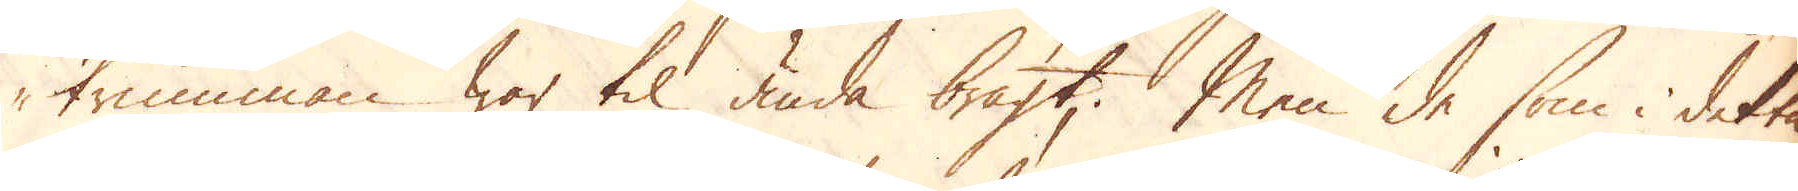trumman war til ända bragt; Men de som i detta
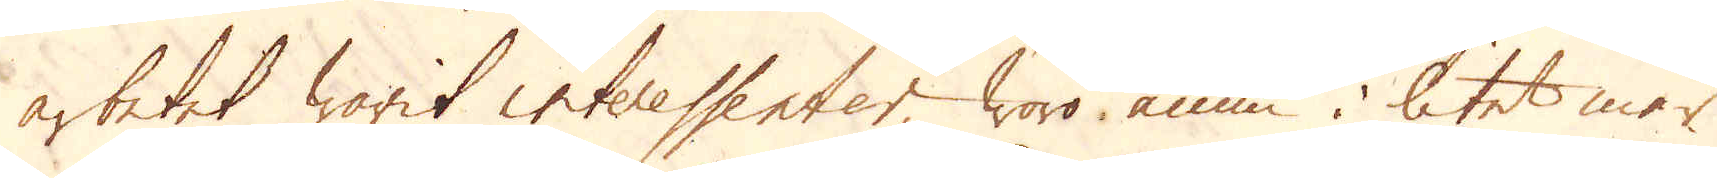arbetet warit interessenter woro ännu i litet mer
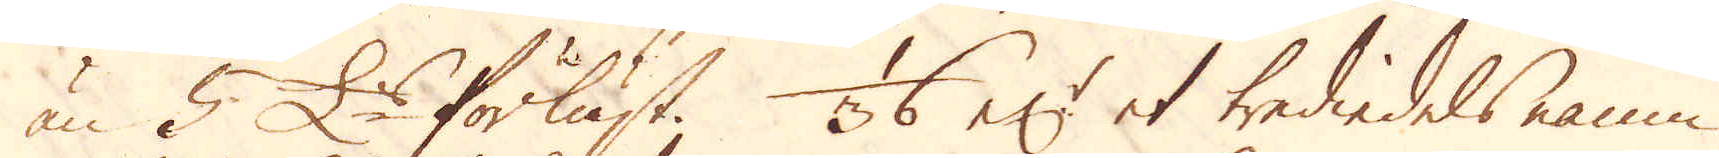än 5 £. förlust. 1/36 el:r et trediedels namn,
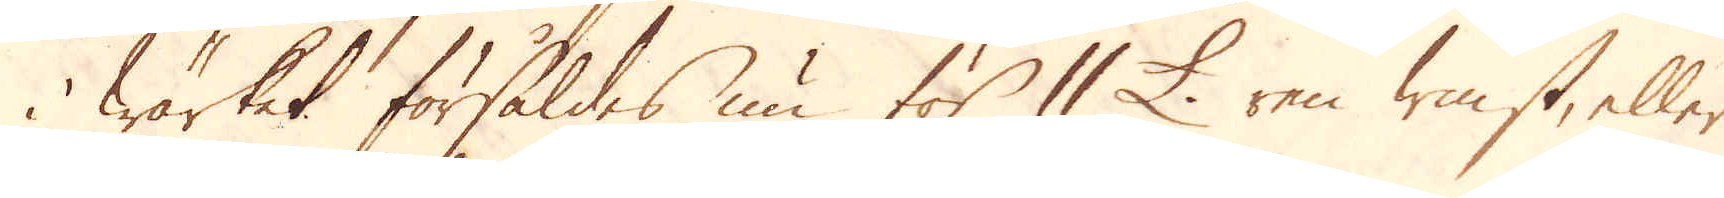i wärket försåldes nu för 11 £. ren winst, eller
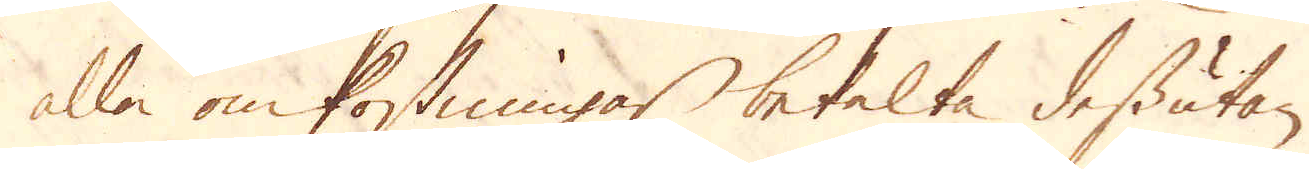alla omkostning betalte dessutan.
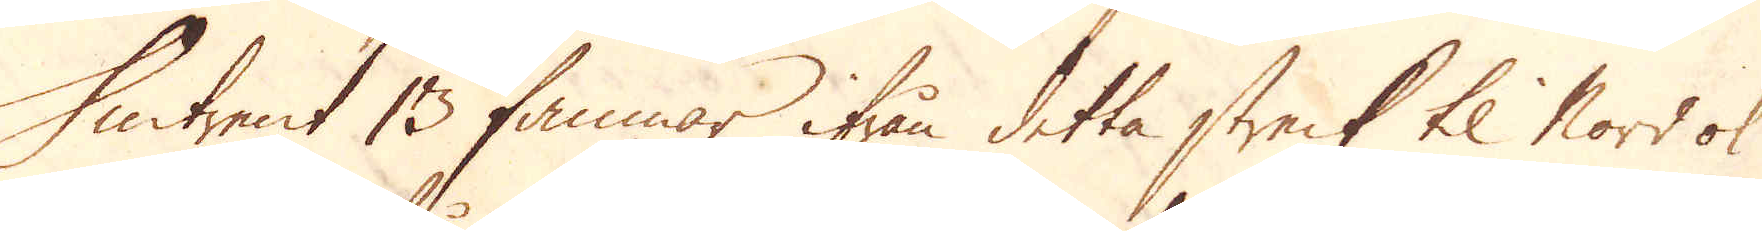Omtrent 13 famnar ifrån detta streck til Norr ok
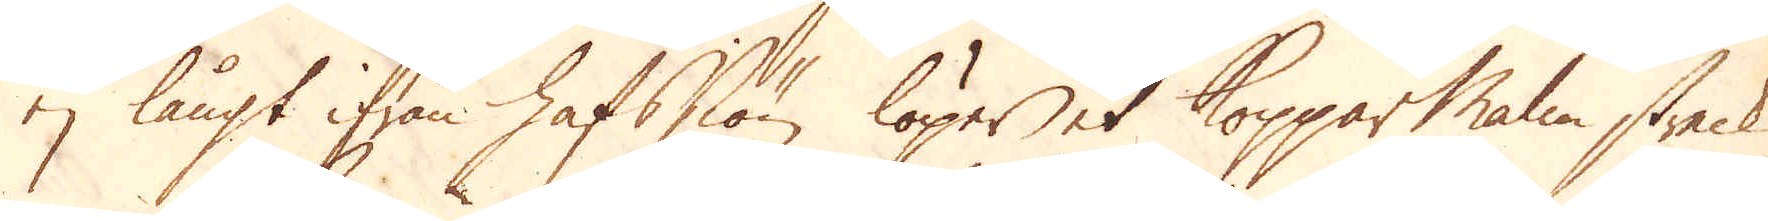ej långt ifrån hafssiön löper et Kopparmalm streck
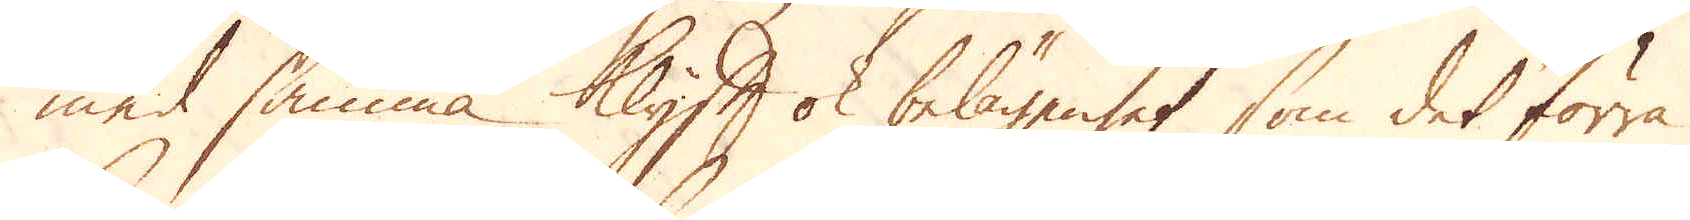med samma Klyft ok belägenhet som det förra.
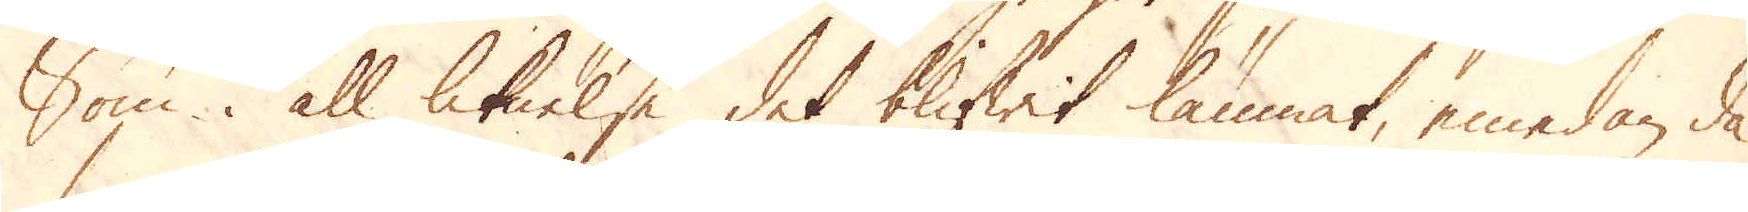Som i all liknelse det blifwit lämnat, emedan då
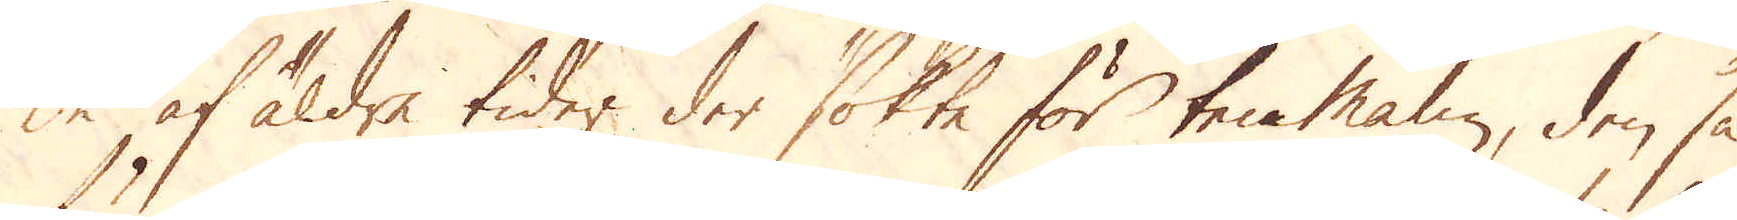de af äldre tider der sökte för tenMalm, den så
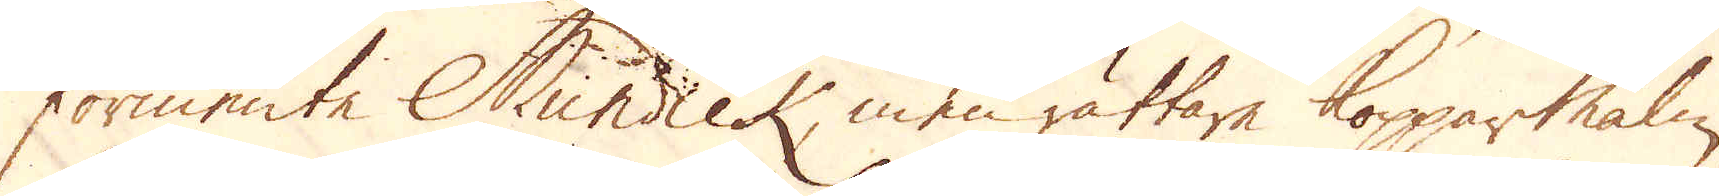förmente Mundick, men rättare Kopparmalm,
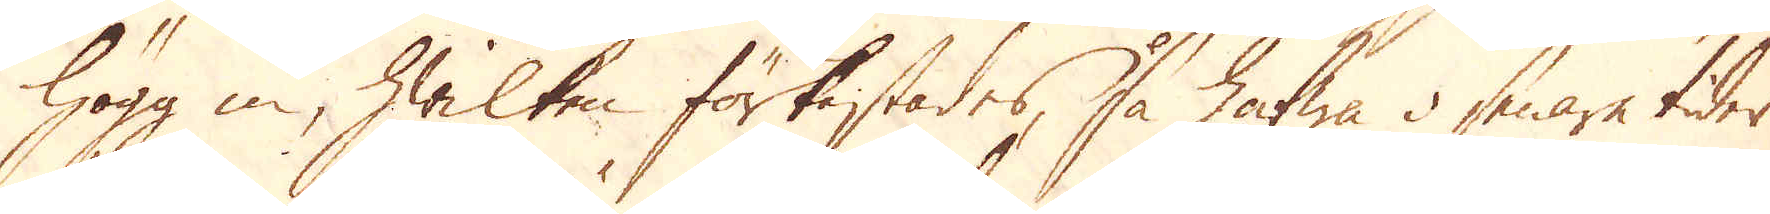högg in, hwilken förkastades, så hafwa i senare tider
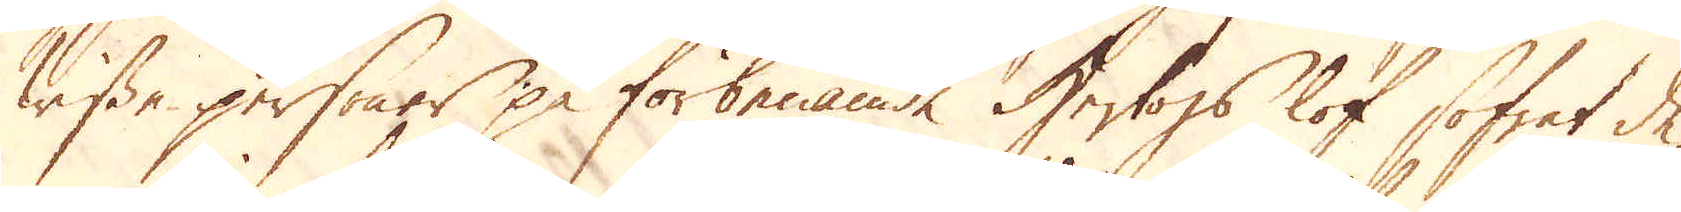wisse personer på förbenämde Hertogs lof sofrat de
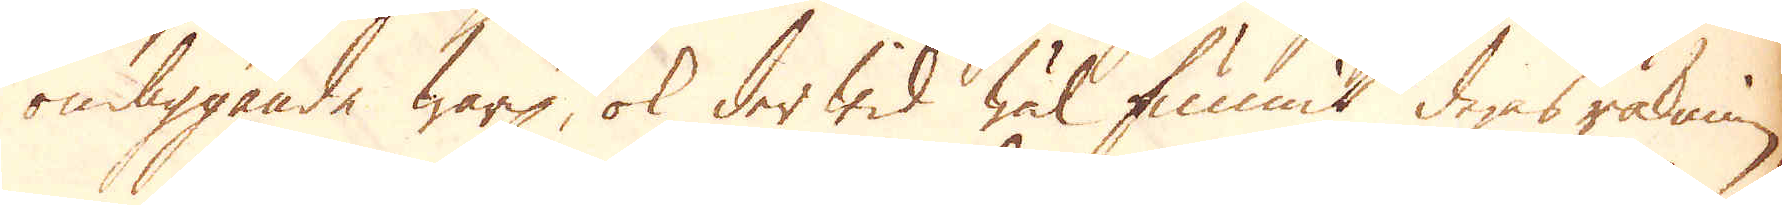omliggande warp, ok der wid wäl funnit deras räkning,
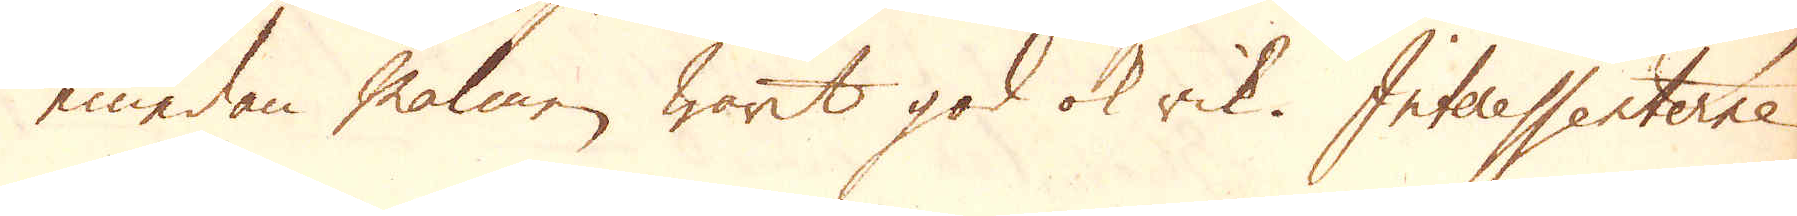emedan malmen warit god ok rik. Interessenterne
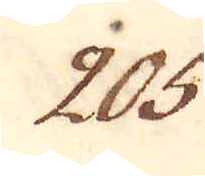205.
